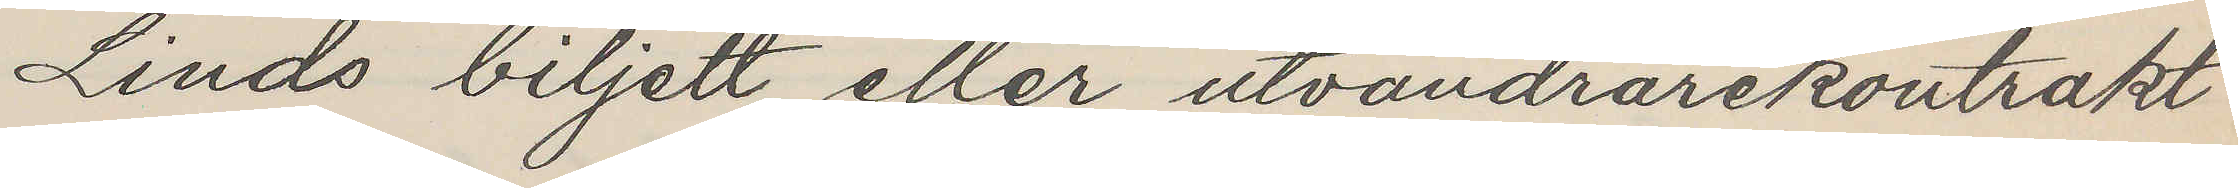Linds biljett eller utvandrarekontrakt
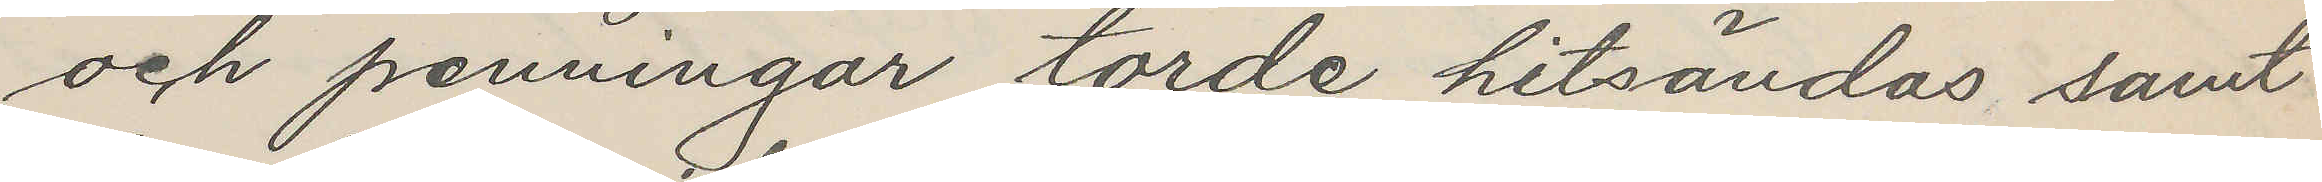och penningar torde hitsändas samt
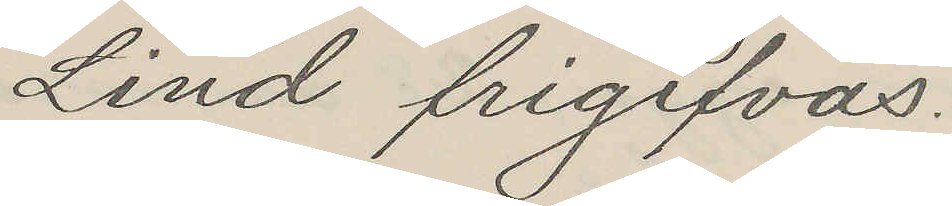Lind frigifvas.
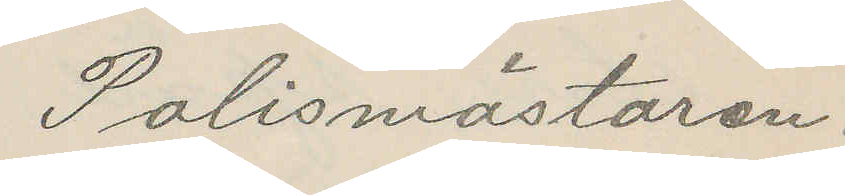Polismästaren.
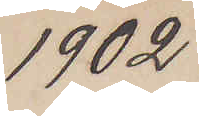1902
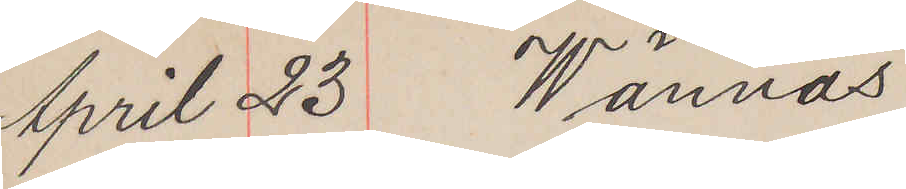April 23 Wännäs
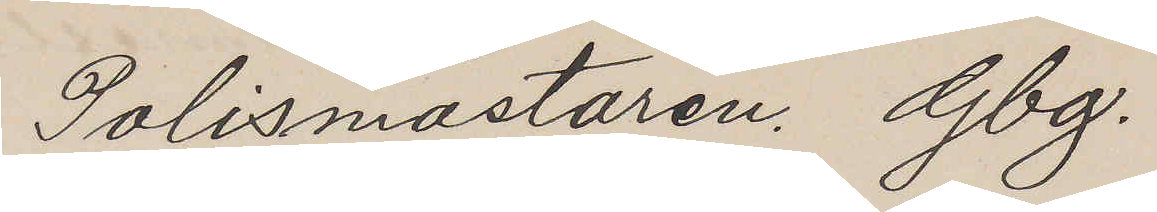Polismästaren Gbg.
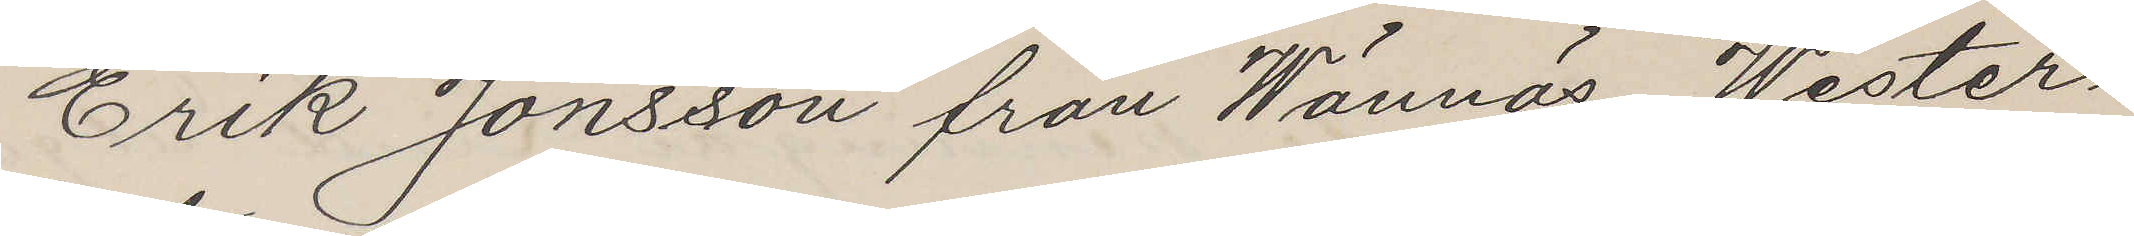Erik Jonsson från Wännäs Wester¬
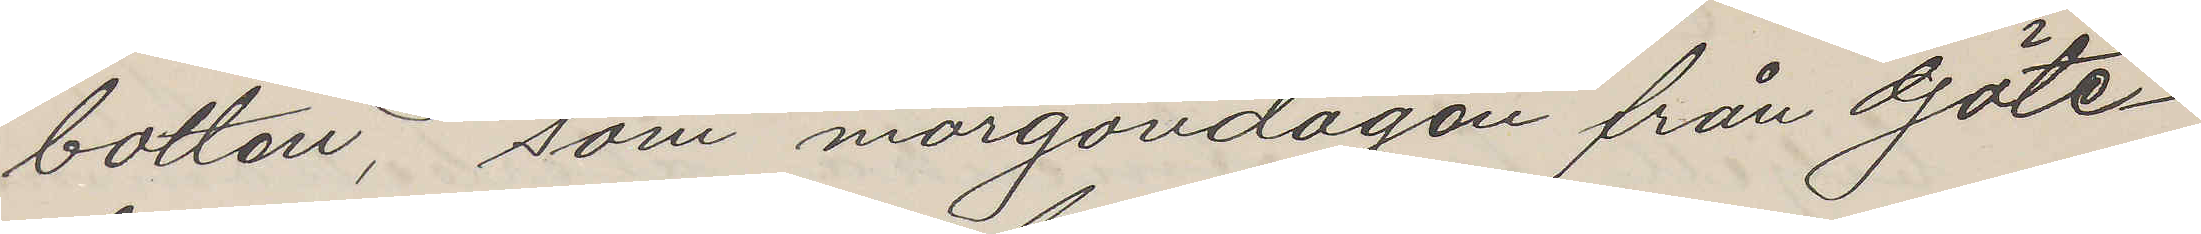botten, som morgondagen från Göte¬
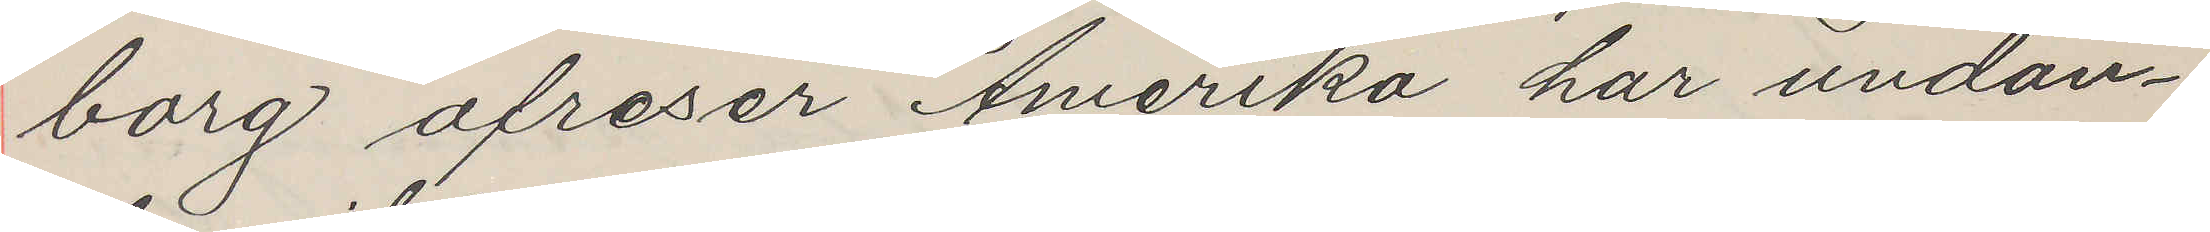borg afreser Amerika har undan¬
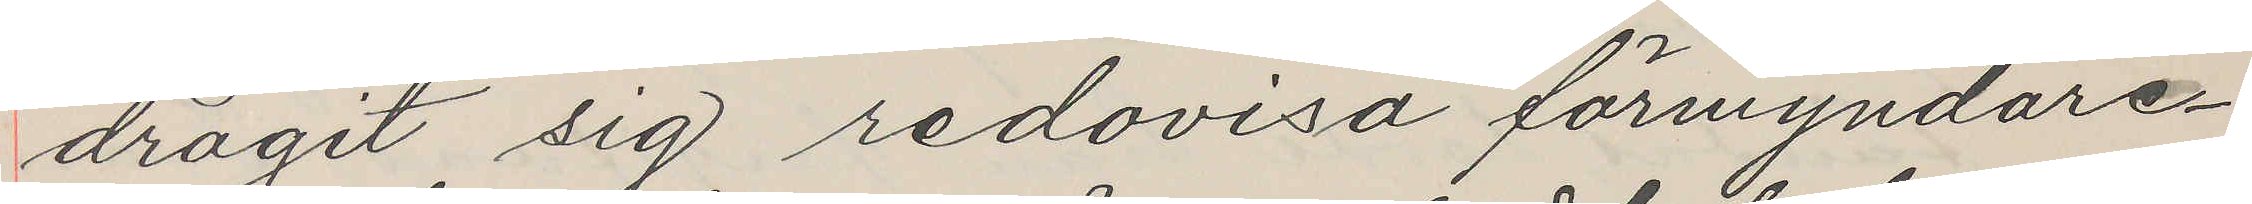dragit sig redovisa förmyndare¬
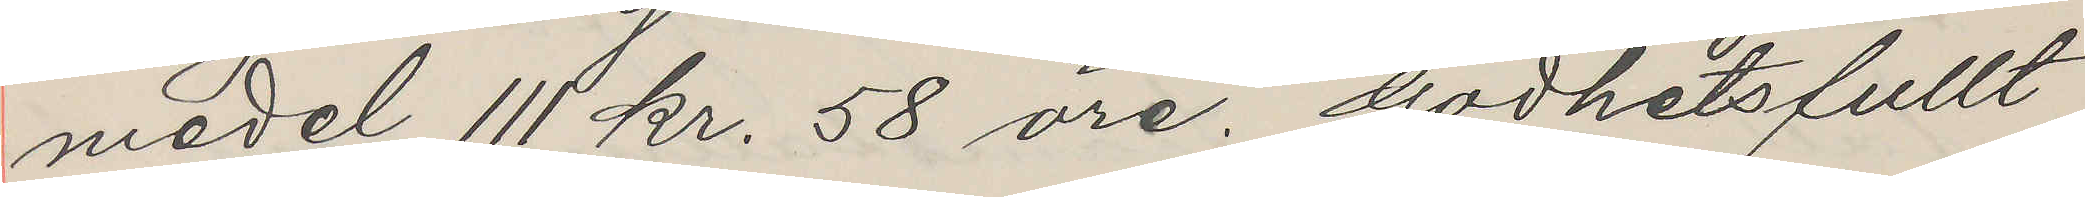medel 111 kr. 58 öre. Godhetsfullt
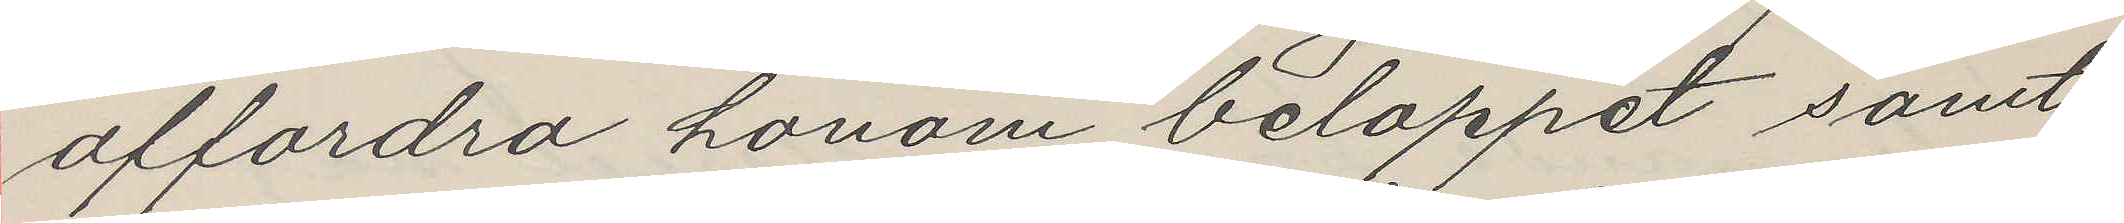affordra honom beloppet samt
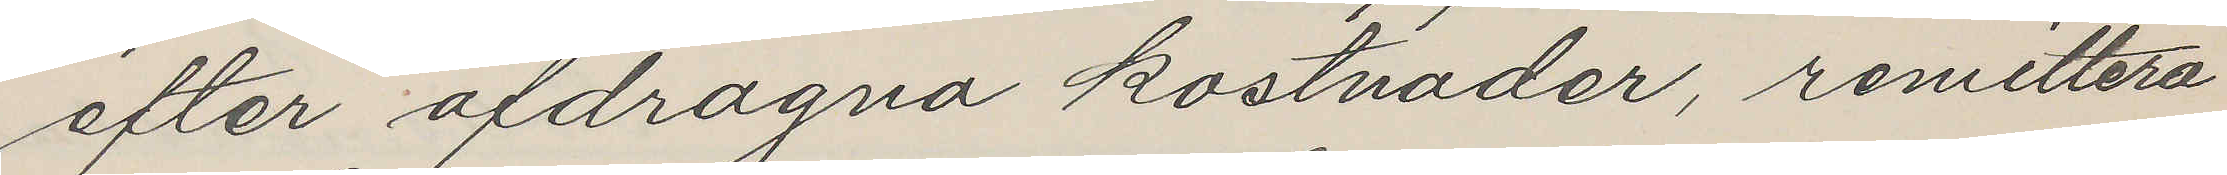efter afdragna kostnader, remittera
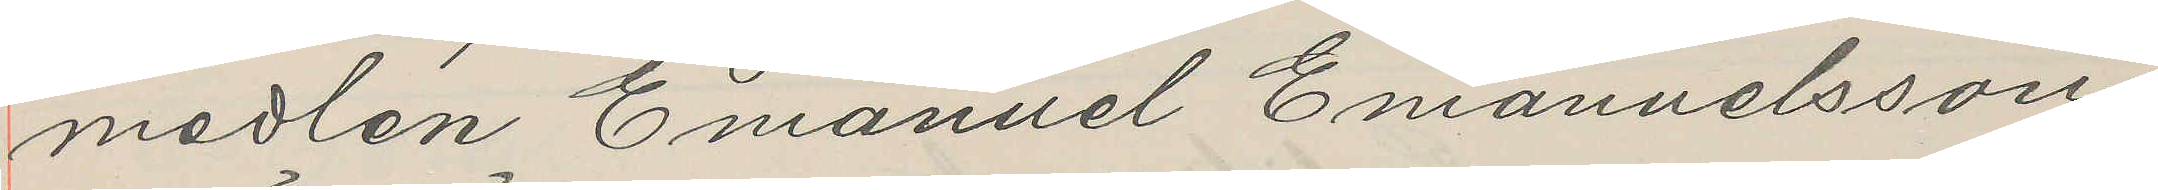medlen Emanuel Emanuelsson
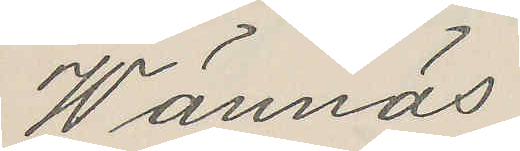Wännäs
